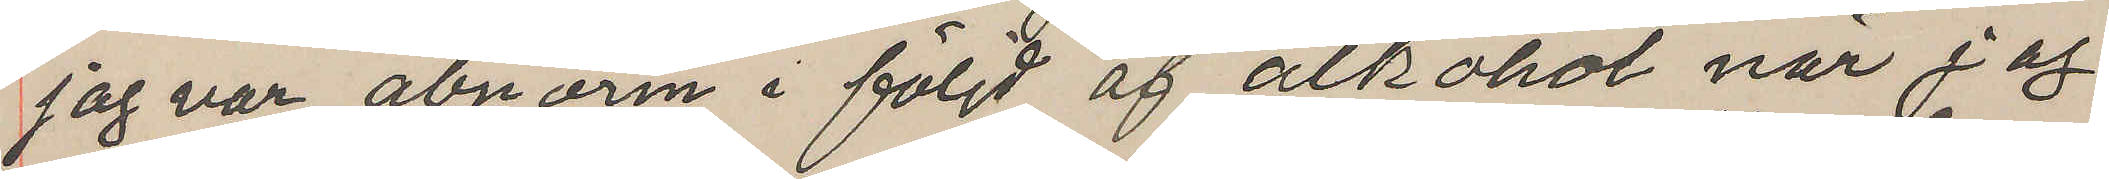jag var abnorm i följd af alkohol när jag
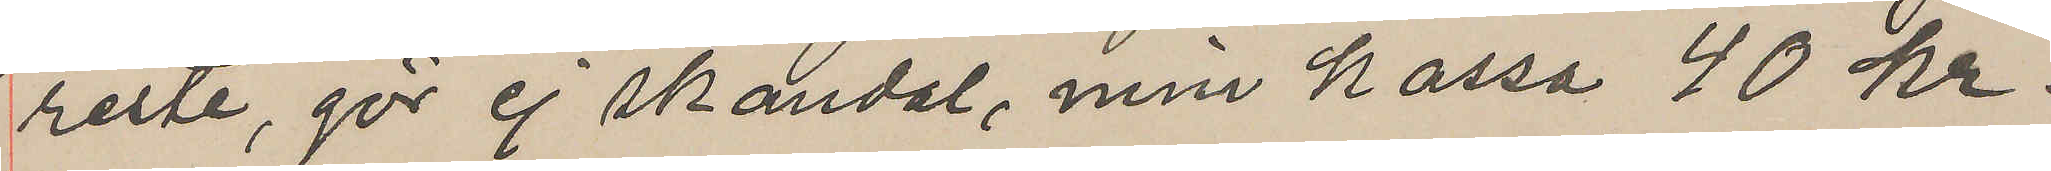reste, gör ej skandal, min kassa 40 kr.
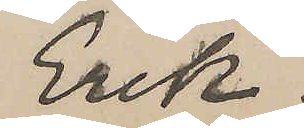Erik.
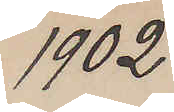1902.
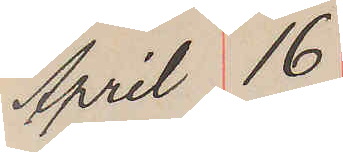April 16
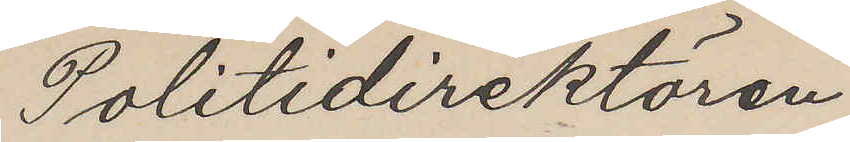Politidirektören
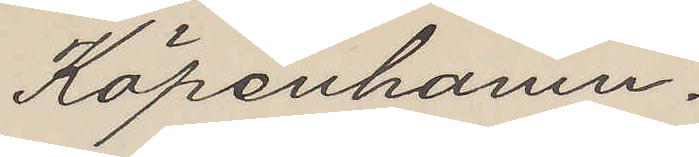Köpenhamn.
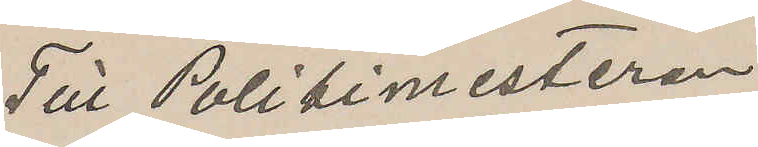Till Politimesteren
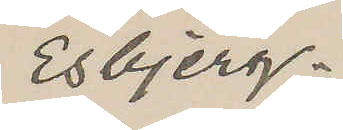Esbjerg.
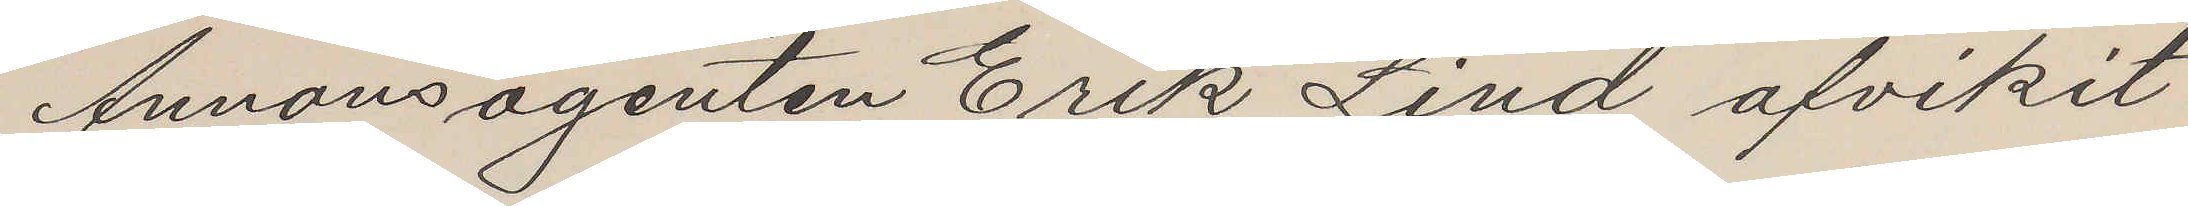Annonsagenten Erik Lind afvikit
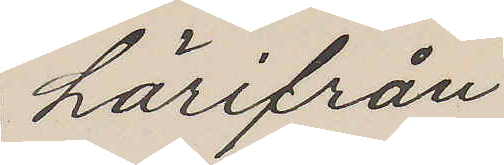härifrån
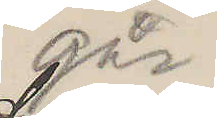igår
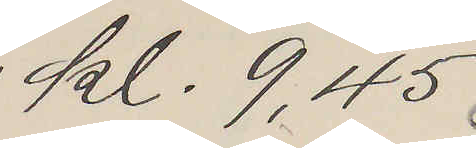kl. 9,45.
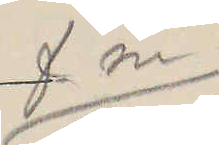fm
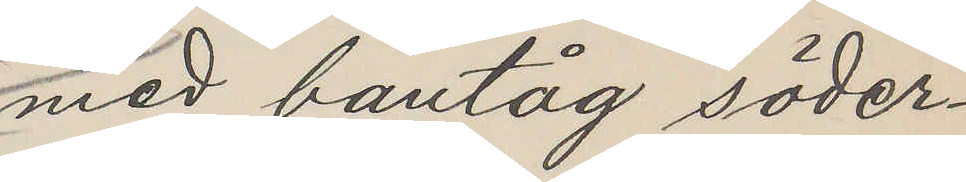med bantåg söder¬
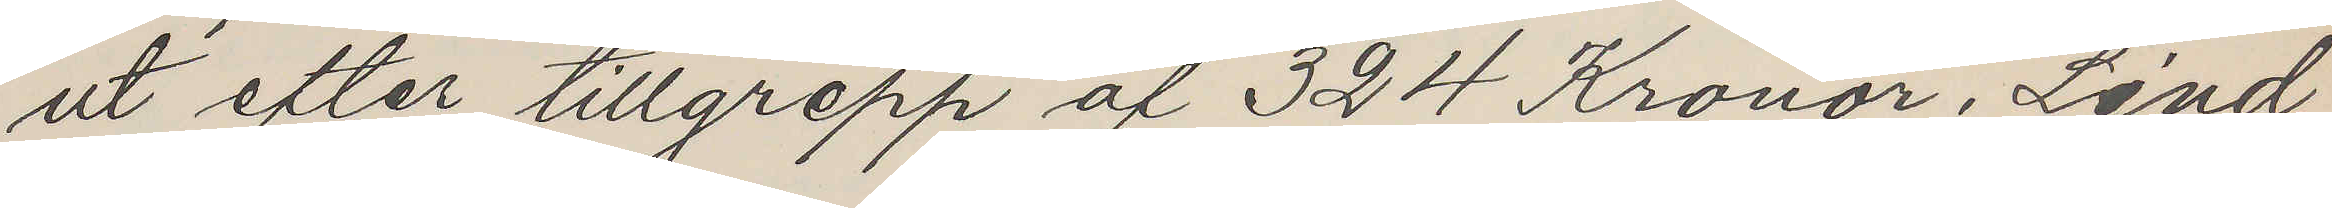ut efter tillgrepp af 324 Kronor. Lind,
